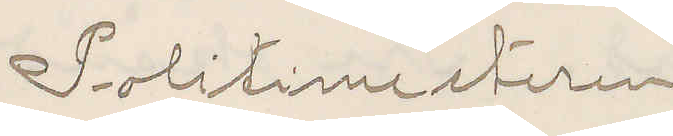Politimesteren
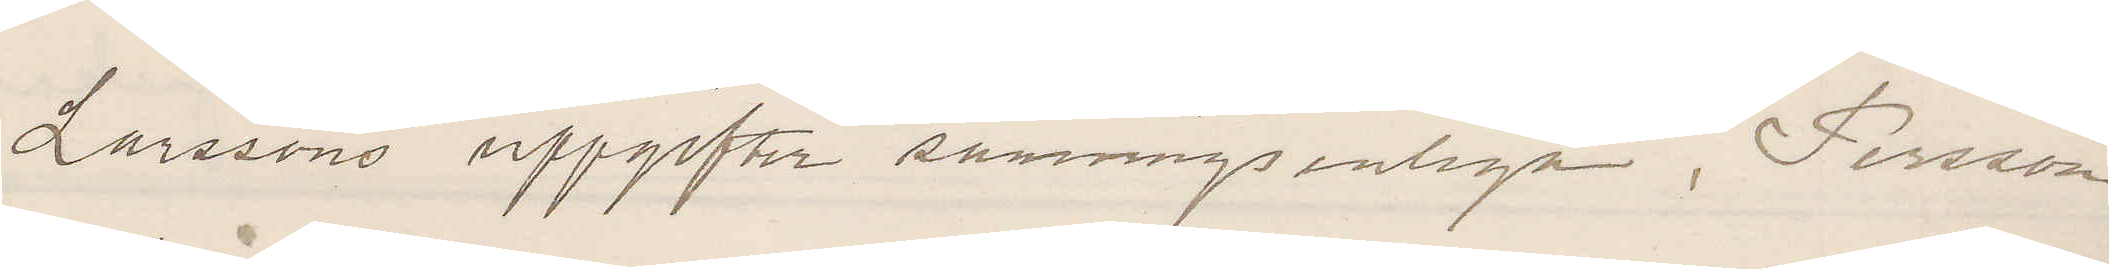Larssons uppgifter sanningsenliga, Persson
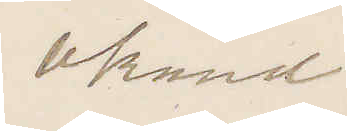okänd
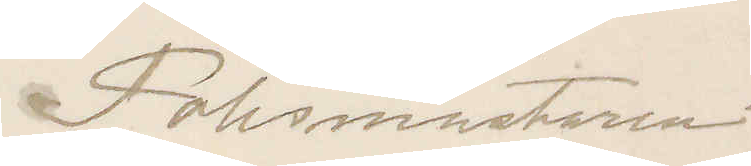Polismästaren
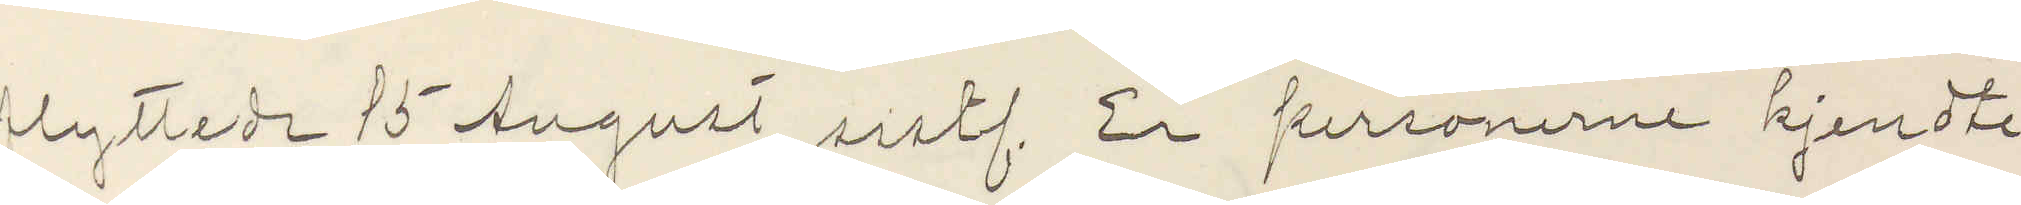lyttede 15 August sistl. Er personerne kjendte
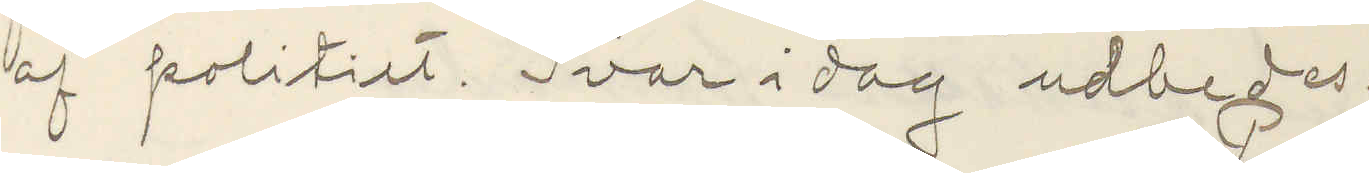af politiet. Svar idag udbedes.
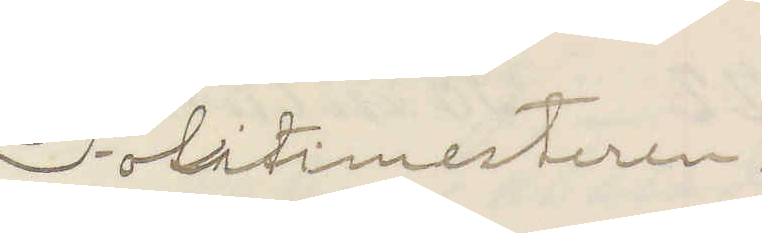Politimesteren.
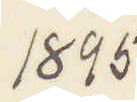1895
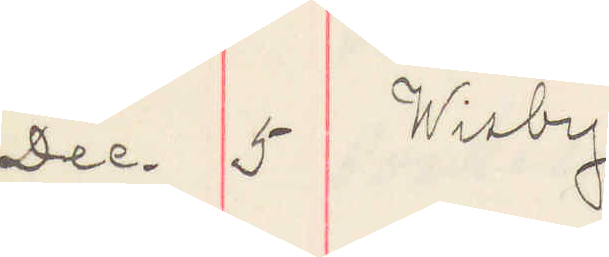Dec. 5 Wisby
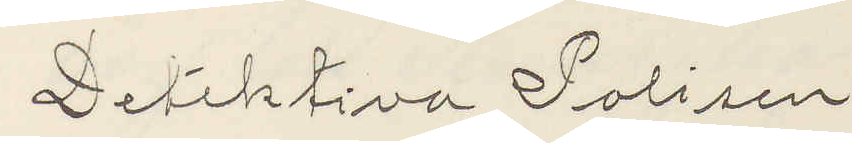Detektiva Polisen
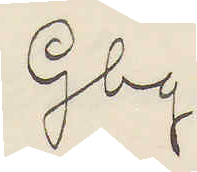Gbg.
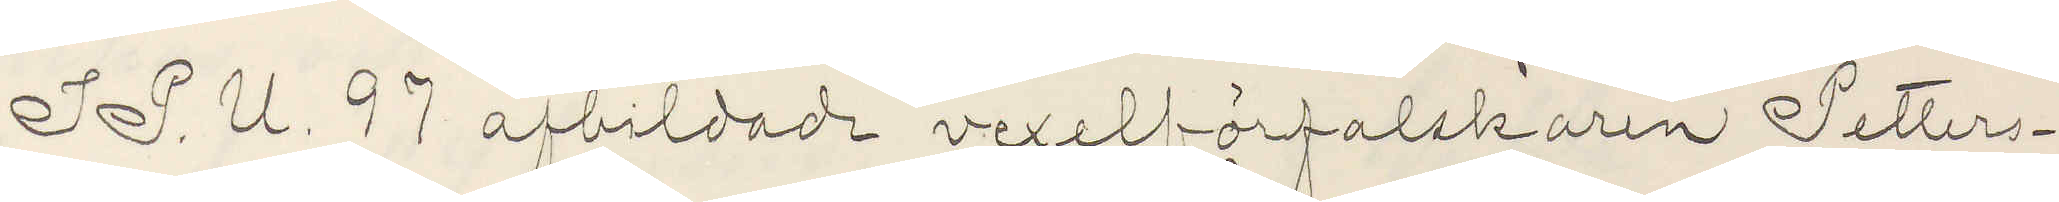I P. U. 97 afbildade vexelförfalskaren Petter¬
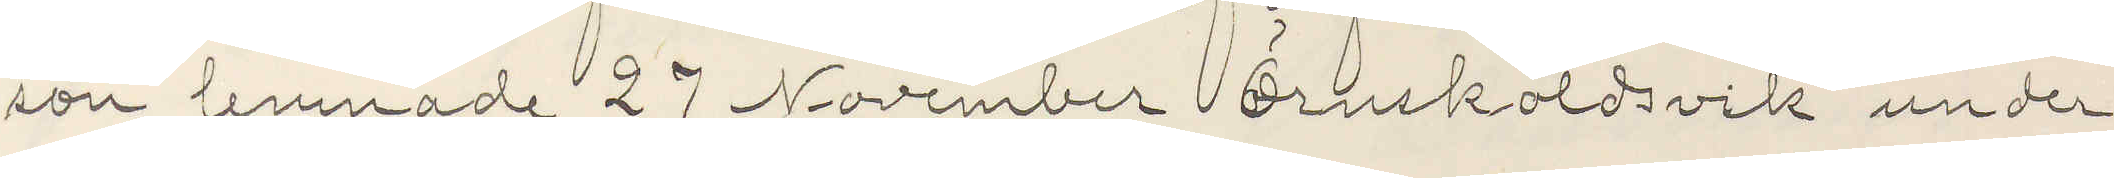son lemnade 27 November Örnsköldsvik under
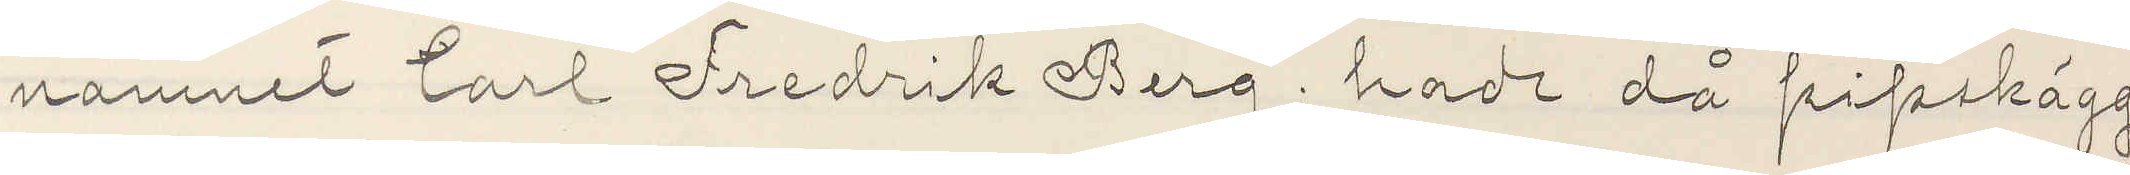namnet Carl Fredrik Berg; hade då pipskägg
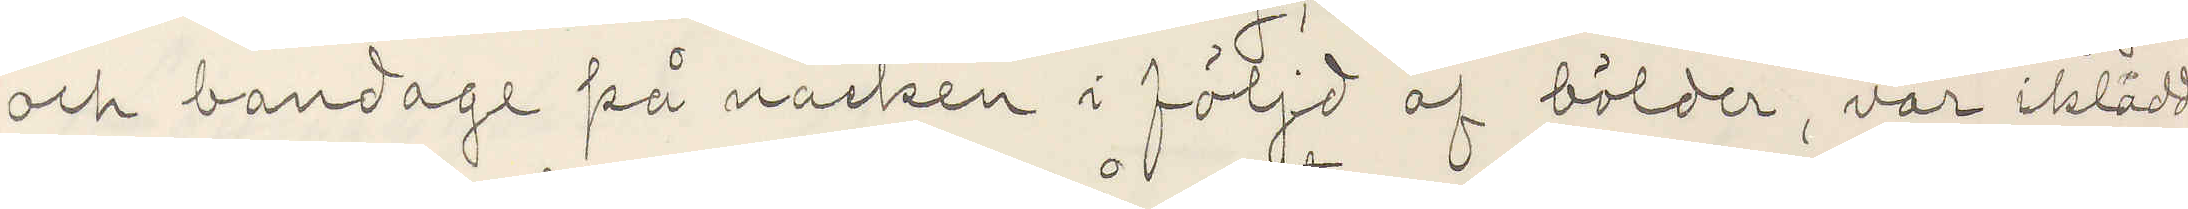och bandage på nacken i följd af bölder, var iklädd
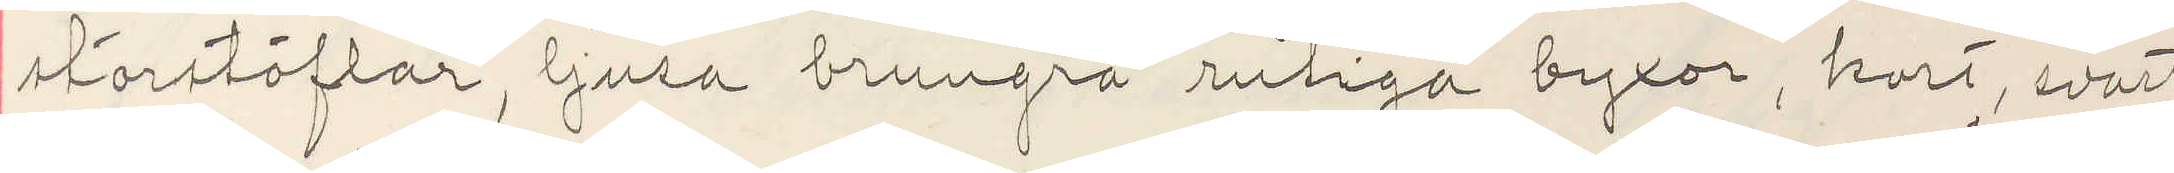storstöflar, ljusa brungrå rutiga byxor, kort, svart
